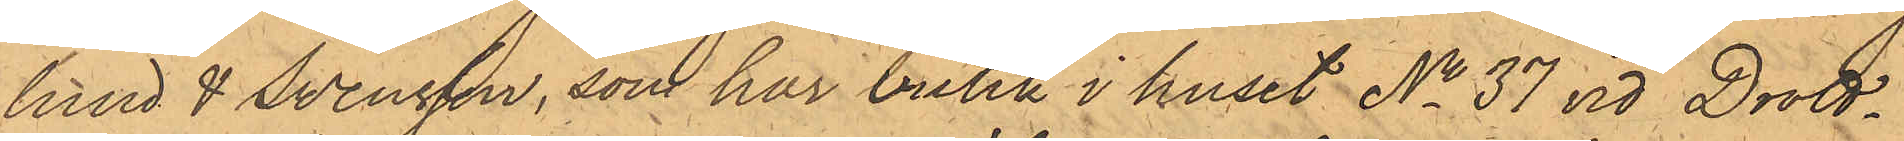lund & Svensson, som har butik i huset No 37 vid Drott¬
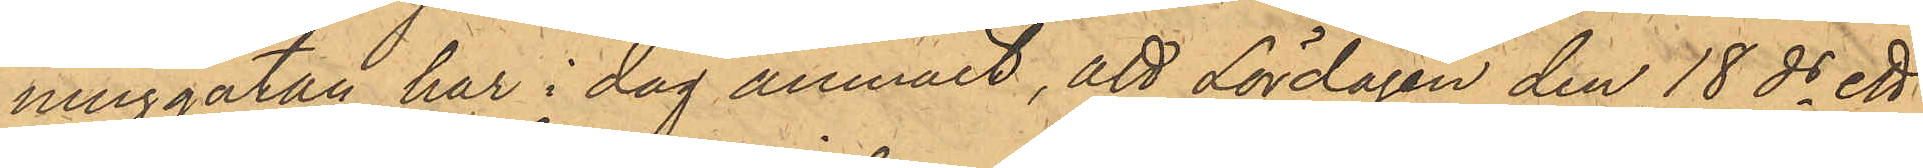ninggatan har i dag anmält, att Lördagen den 18 ds ett
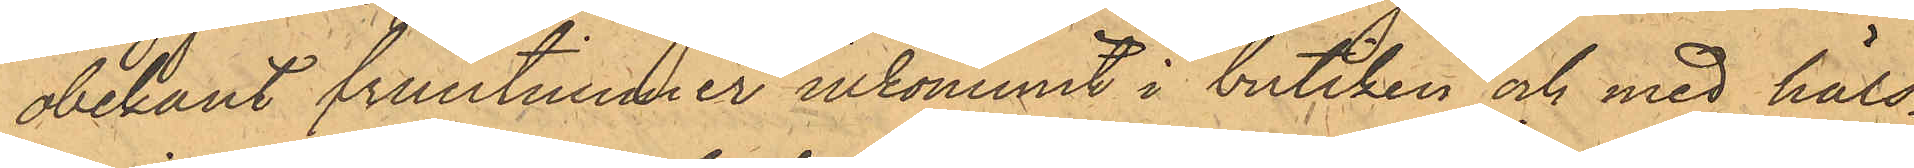obekant fruntimmer inkommit i butiken och med häls¬
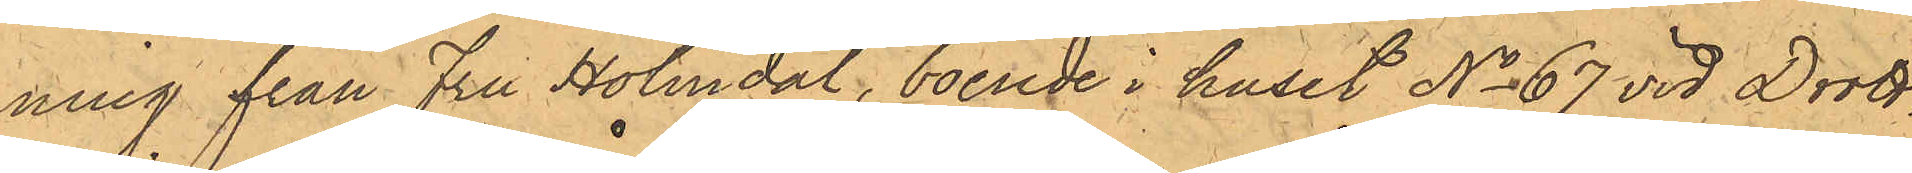ning från Fru Holmdal, boende i huset No 67 vid Drott¬
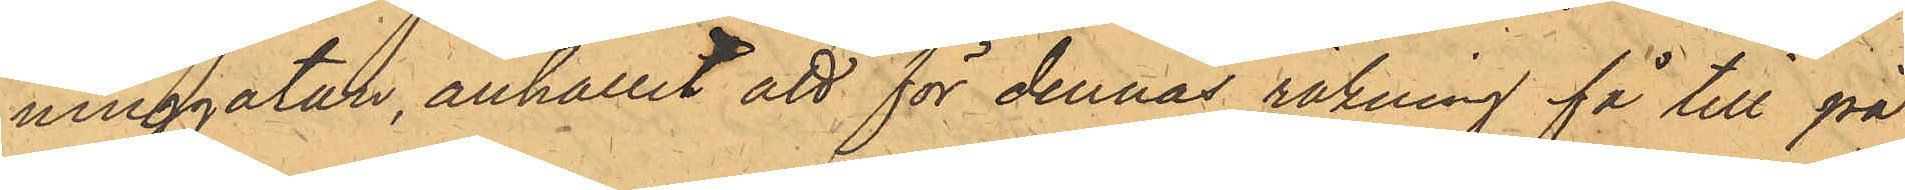ninggatan, anhållit att för dennas räkning få till på¬
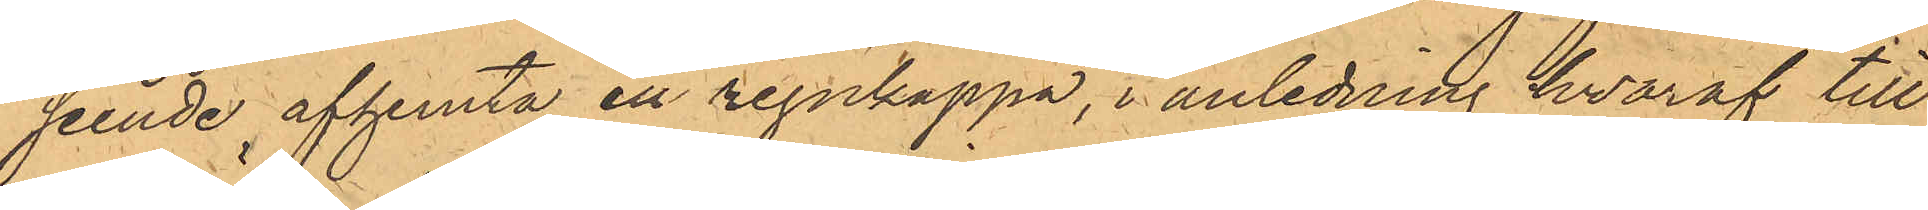seende afhemta en regnkappa, i anledning hvaraf till
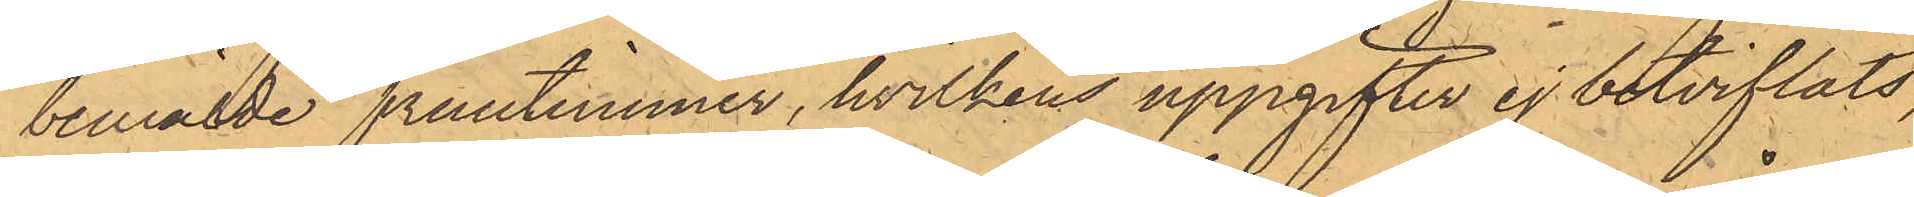bemälde fruntimmer, hvilkens uppgifter ej betviflats,
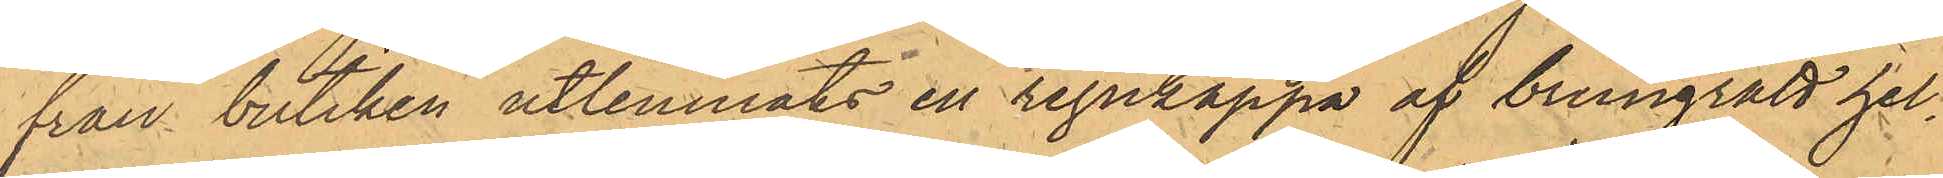från butiken utlemnats en regnkappa af brungrått hel¬
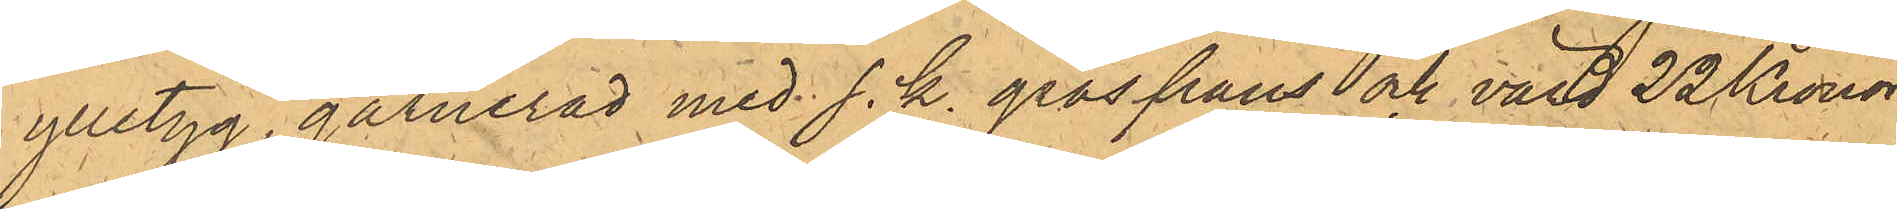ylletyg, garnerad med s. k. gräsfrans och värd 22 Kronor.
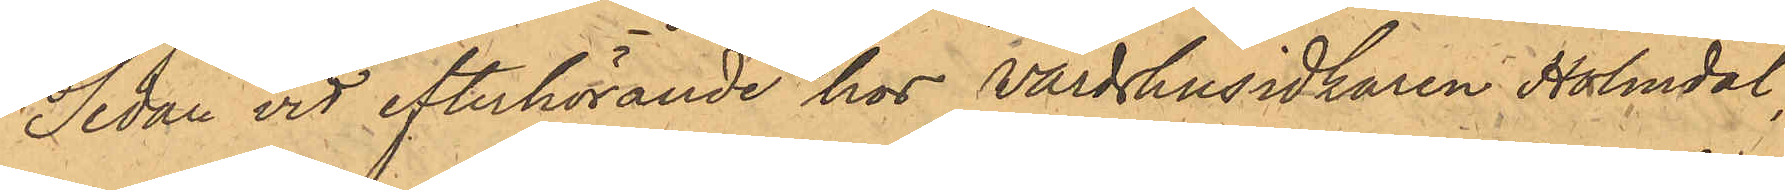Sedan vid efterhörande hos Värdshusidkaren Holmdal,
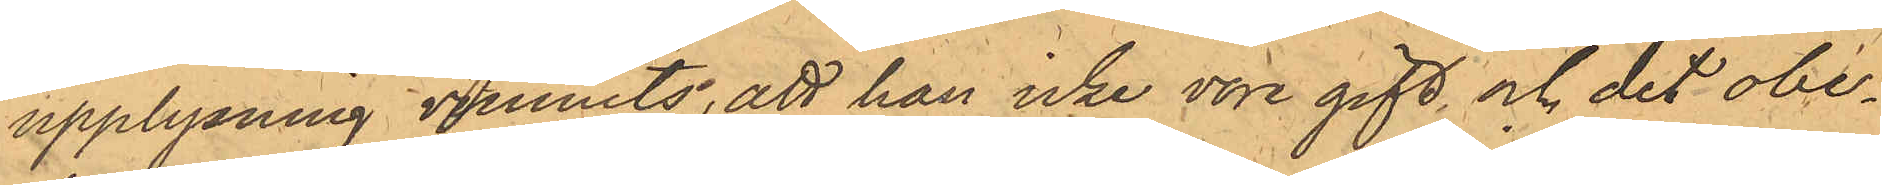upplysning vunnits, att han icke vore gift, och det obe¬
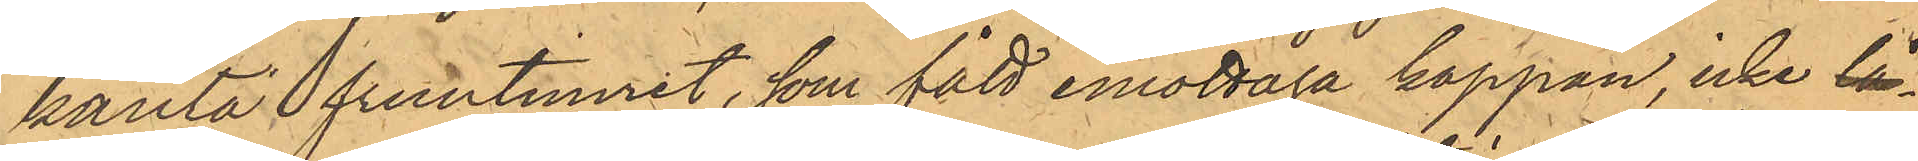kanta fruntimret, som fått emottaga kappan, icke lå¬
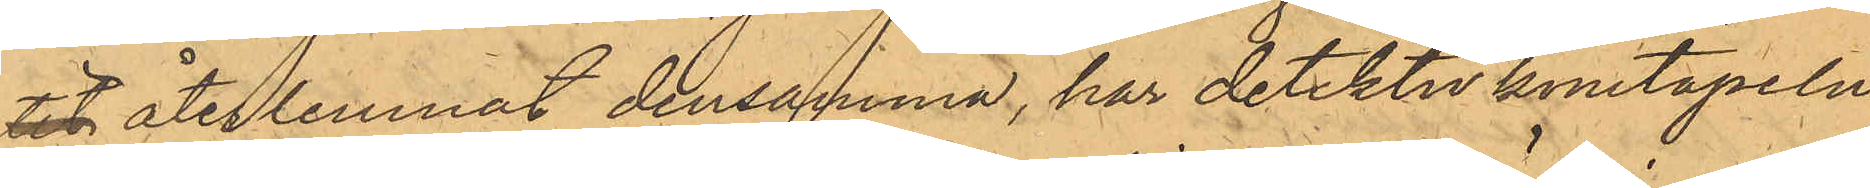tit återlemnat densamma, har detektivkonstapeln
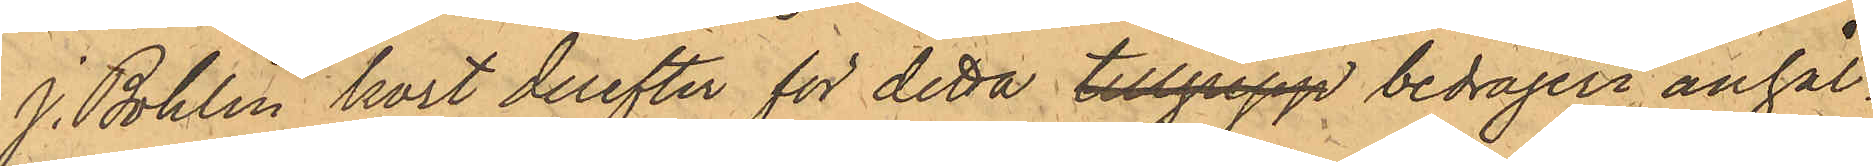J. Bohlin kort derefter för detta tillgrepp bedrägeri anhål¬
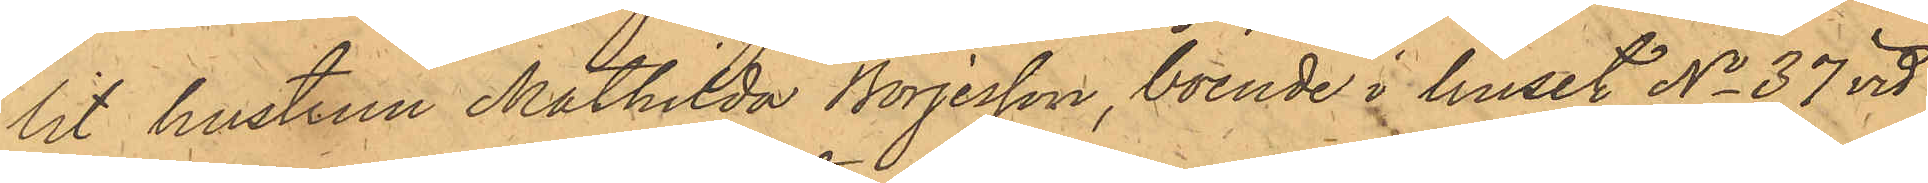lit hustrun Mathilda Börjesson, boende i huset No 37 vid
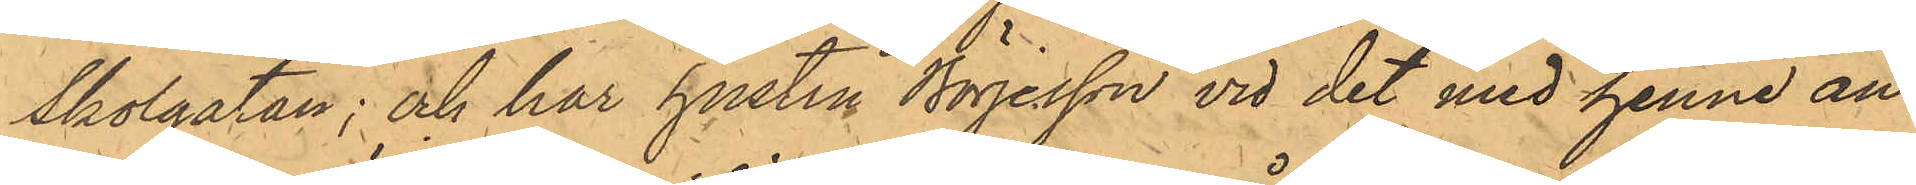Skolgatan; och har hustru Börjesson vid det med henne an¬
